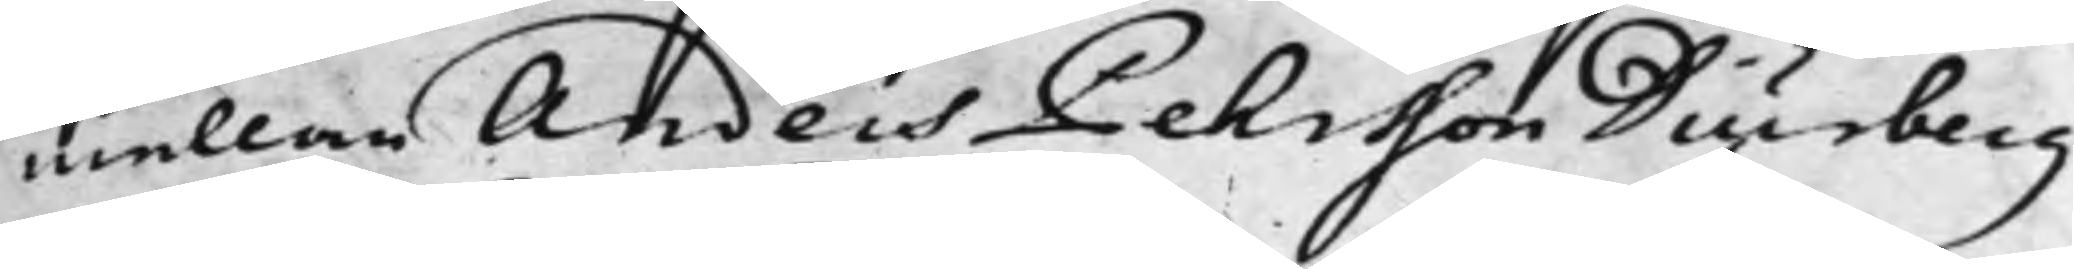mellan Anders Pehrsson Diurberg
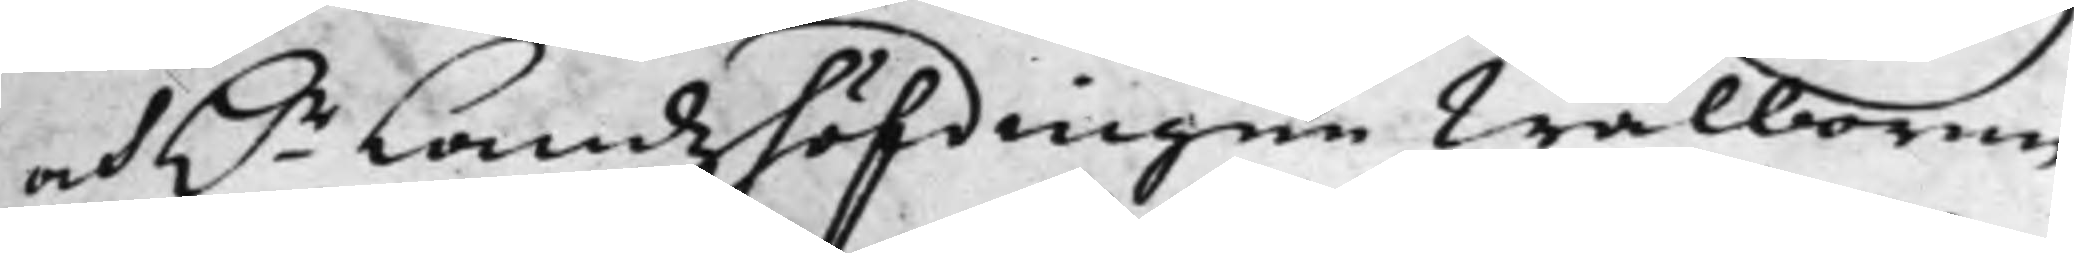och H.r Landzhöfdingen Wälborne
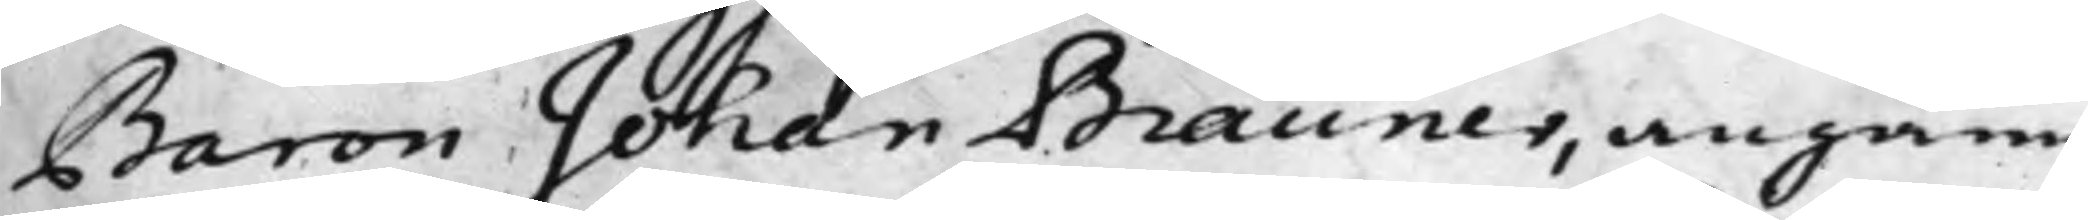Baron Johan Brauner, angåen¬
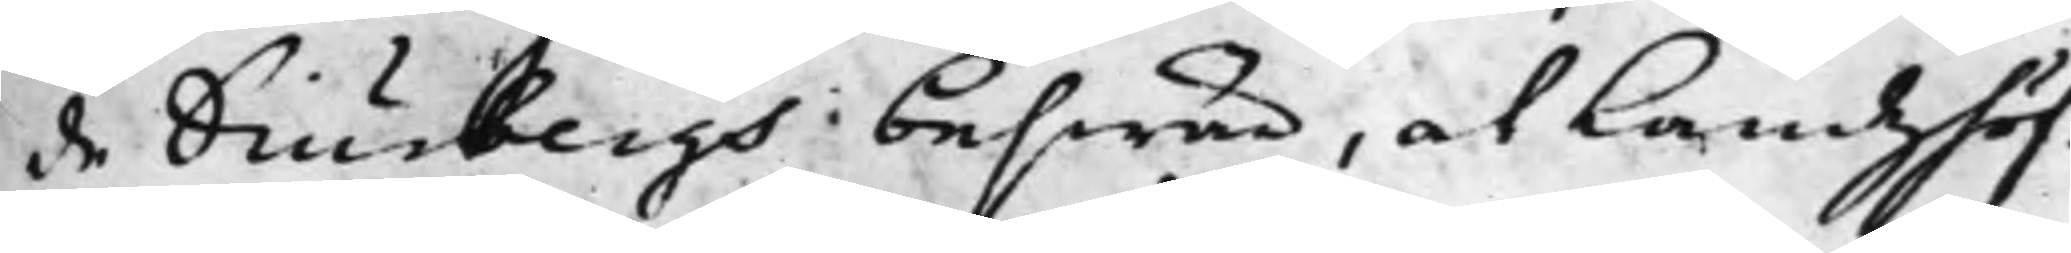de Diurbergs beswär, at Landzhöf¬
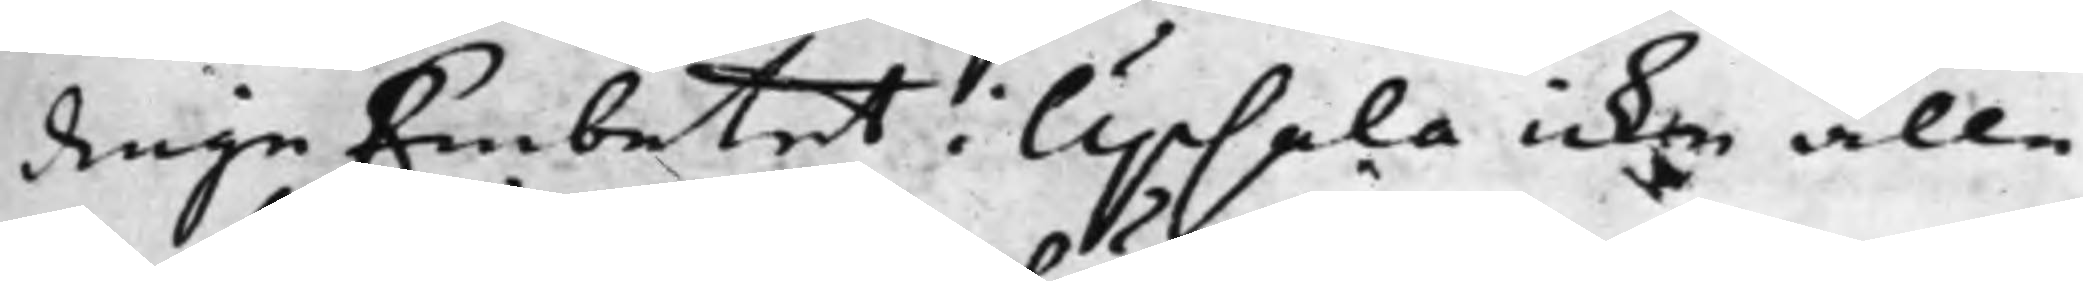dinge Embetet i Upsala icke alle¬
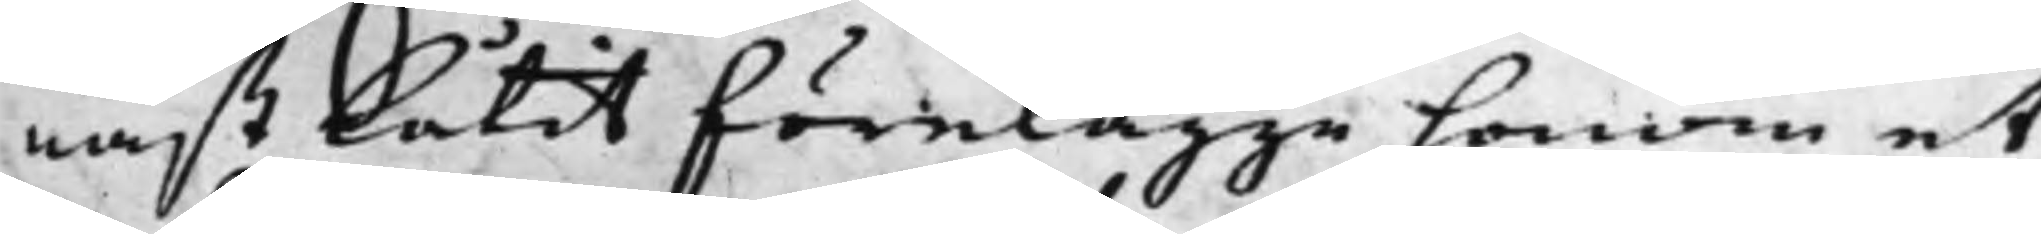nast låtit förelägge honom et
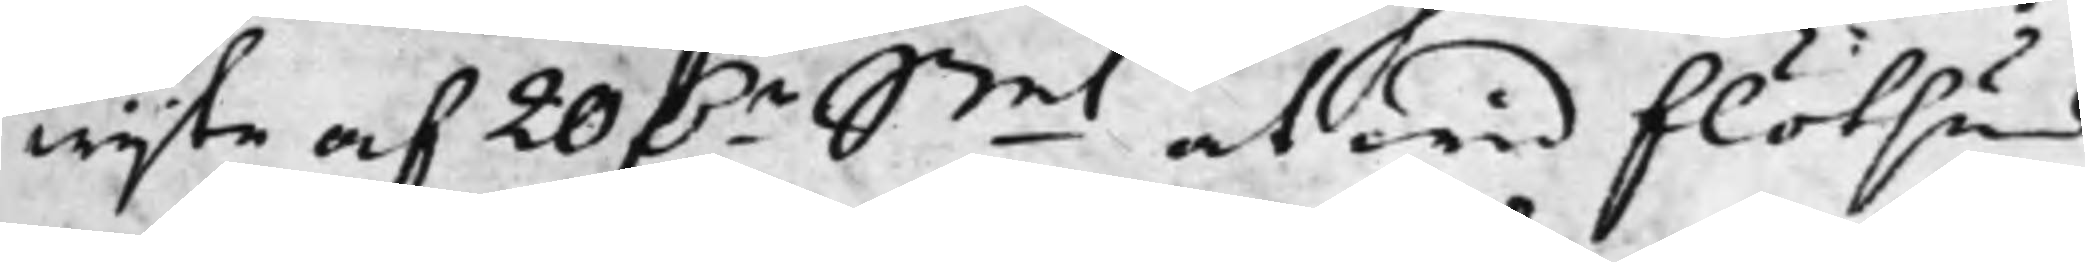wijte af 20 D.r Smt at wid flötsund
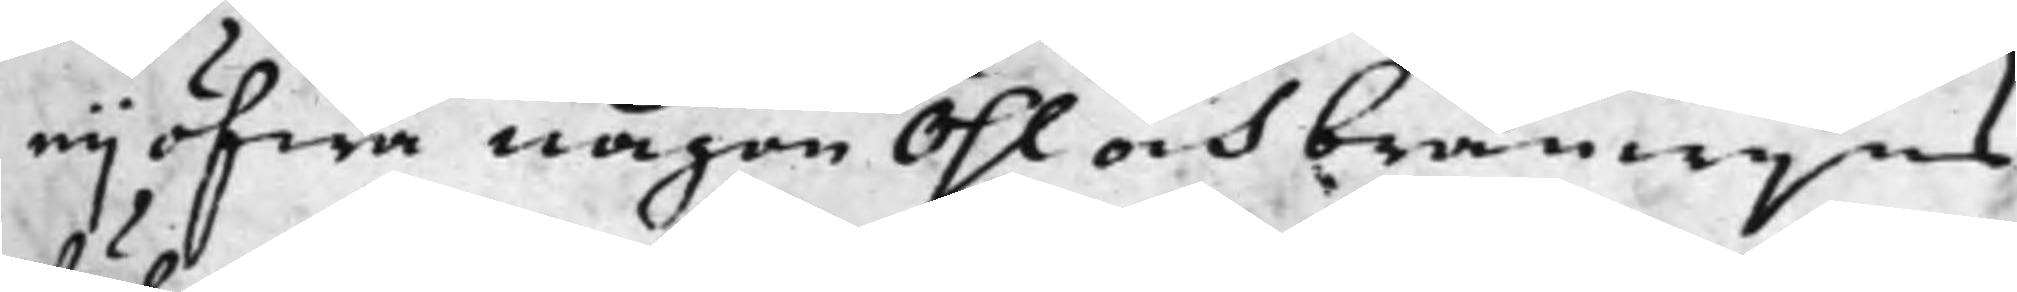eij öfwa någon Öhl och bränwijns
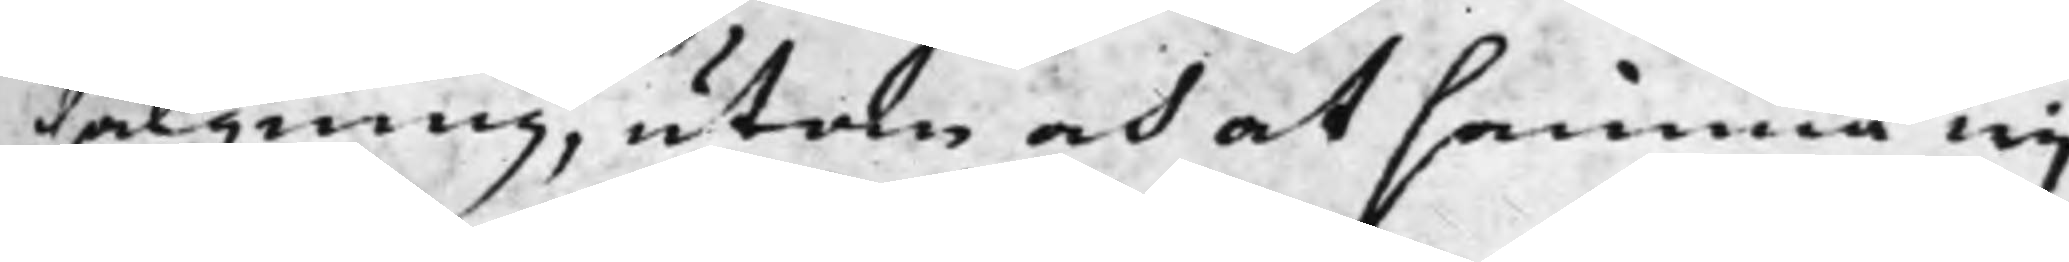sälgning, utan och at samma wij¬
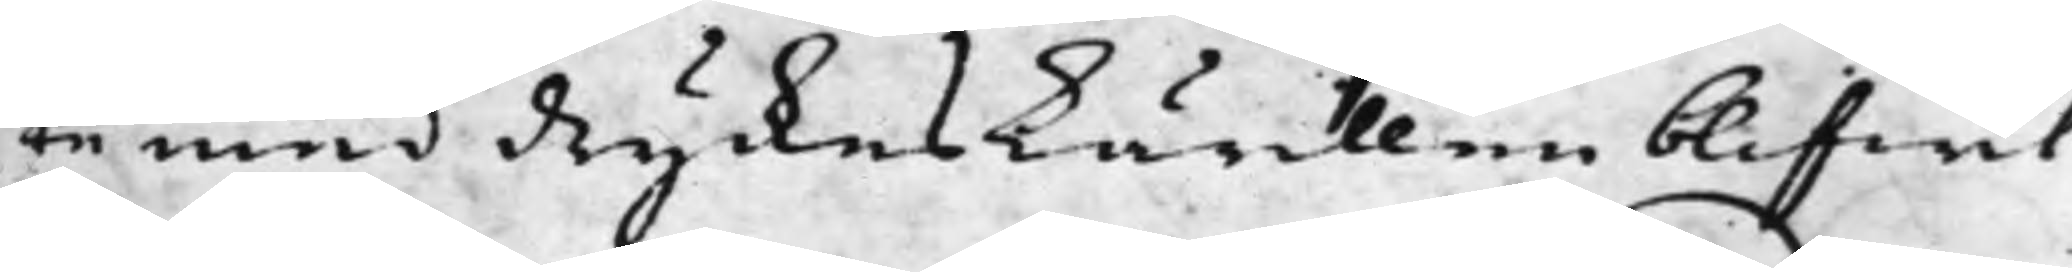te med dryckeskärillen blifwit
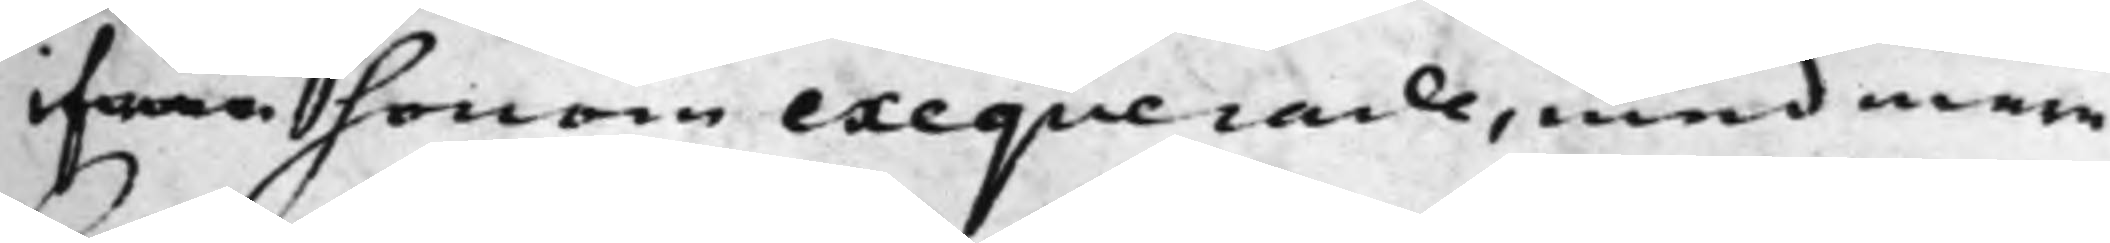ifrån honom exeqverade, med mera
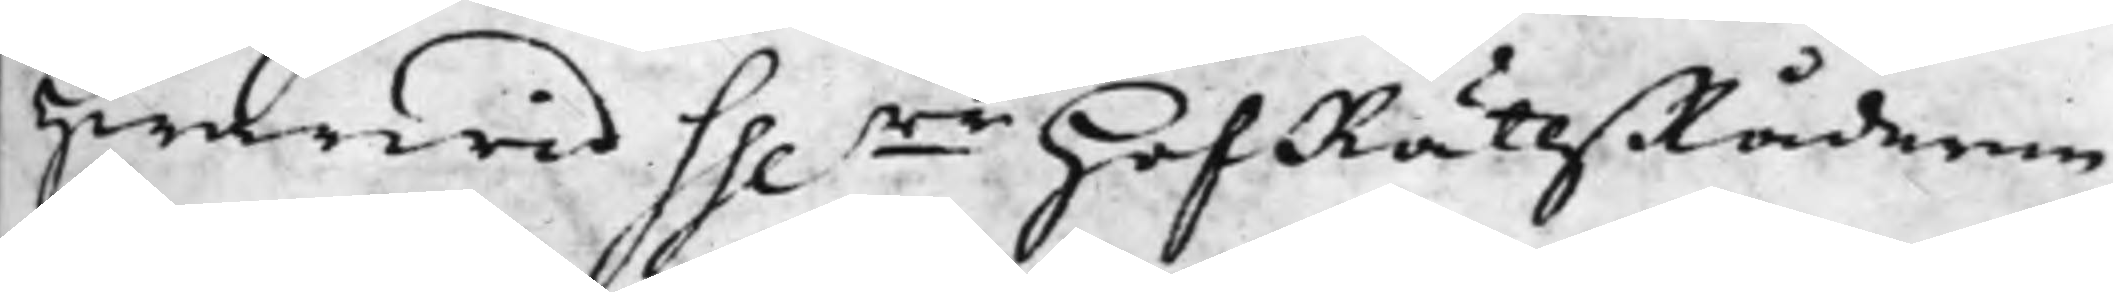hwarwid Hh.rr HofRättzRåderne
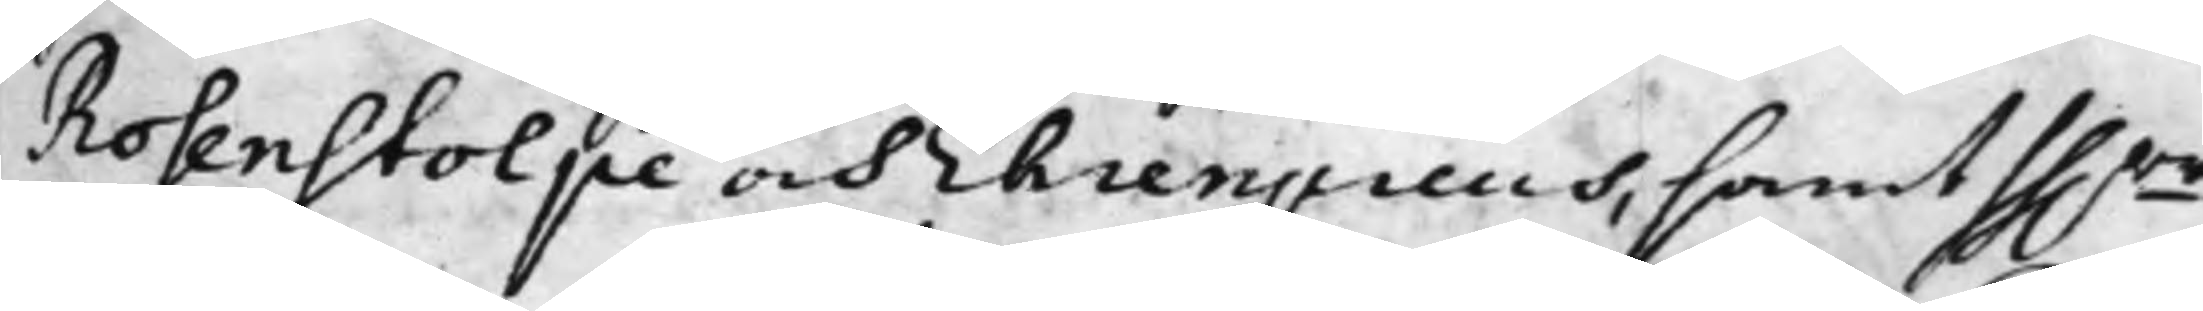Rosenstolpe och Ehrenpreus, samt hh.rr
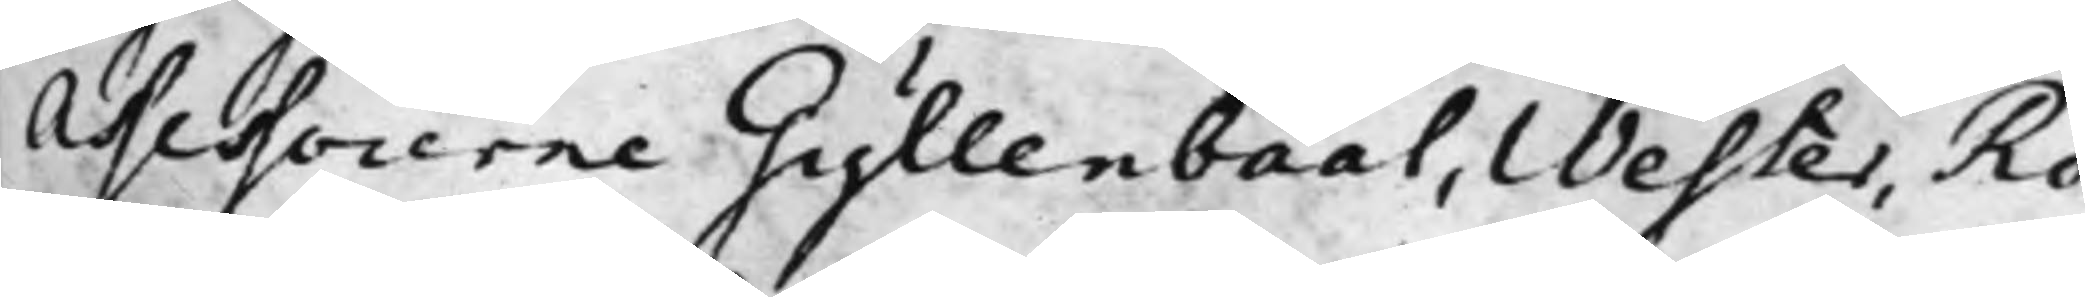Assessorerne Gyllenbååt, Wester, Ro¬
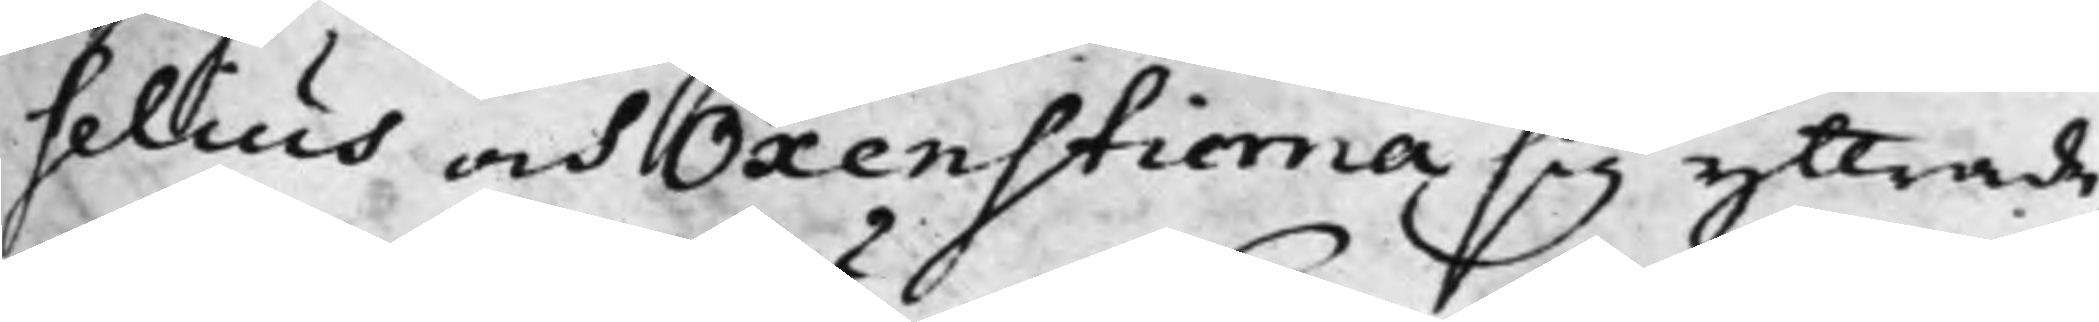selius och Oxenstierna sig yttrade,
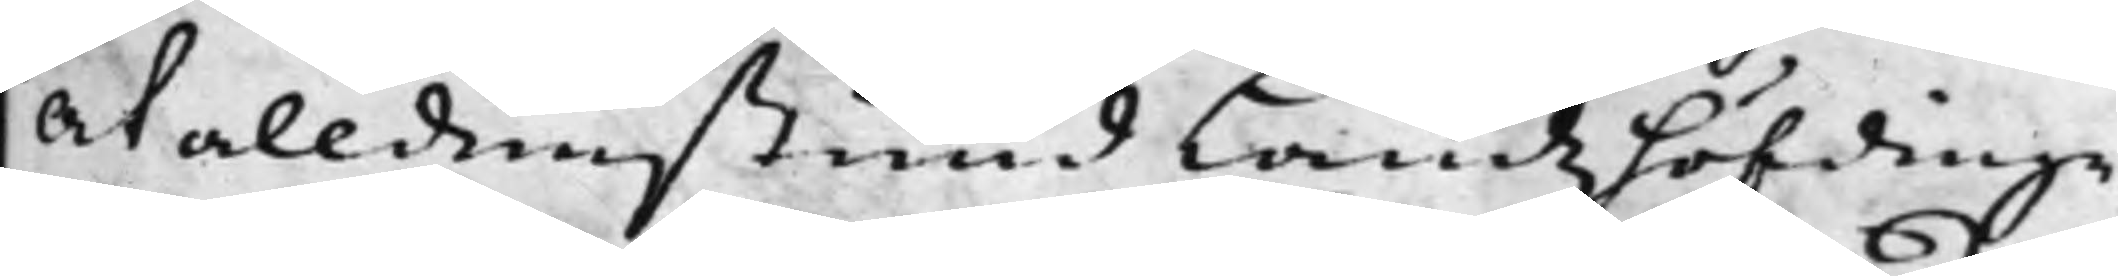at alldenstund Landzhöfdinge¬
